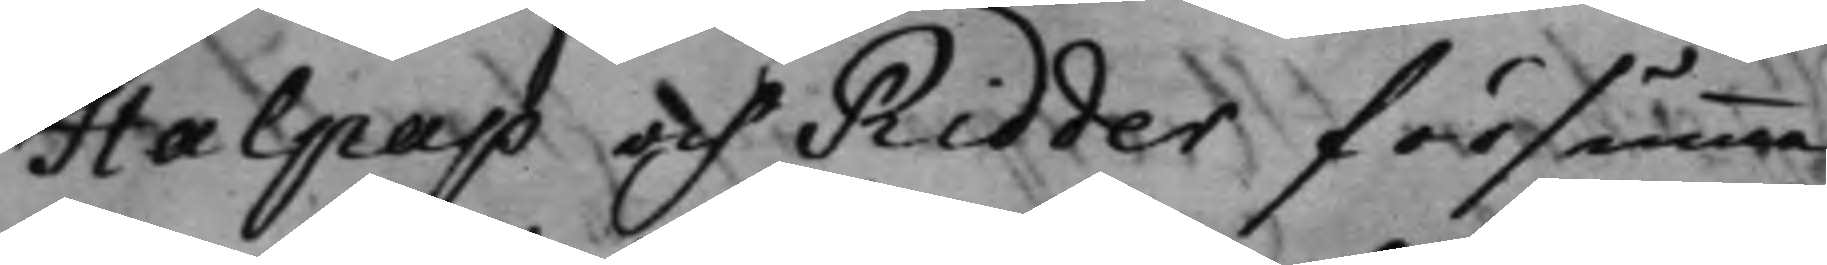Halpap och Ridder försumma¬
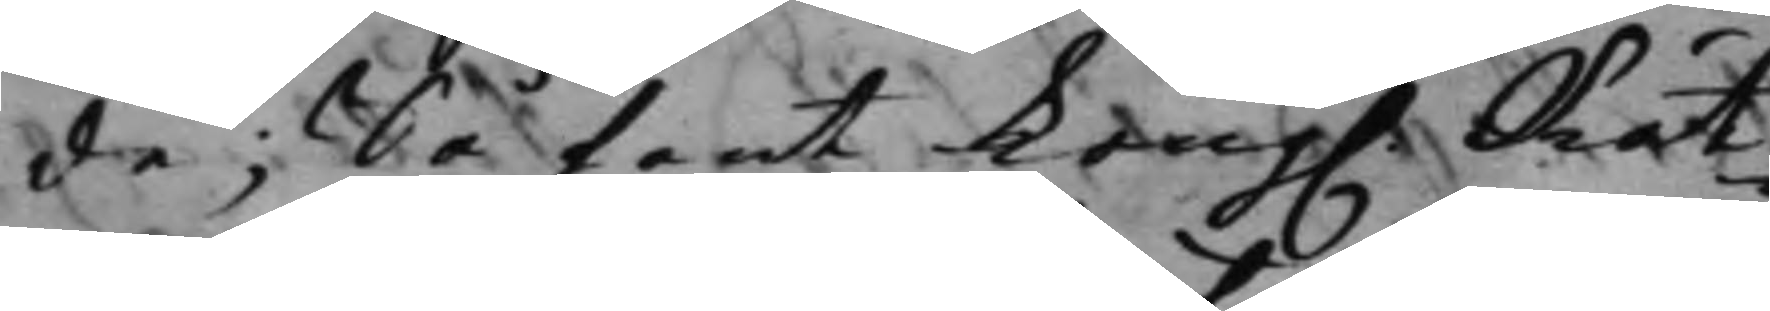de; Så fant Kong. Rät¬
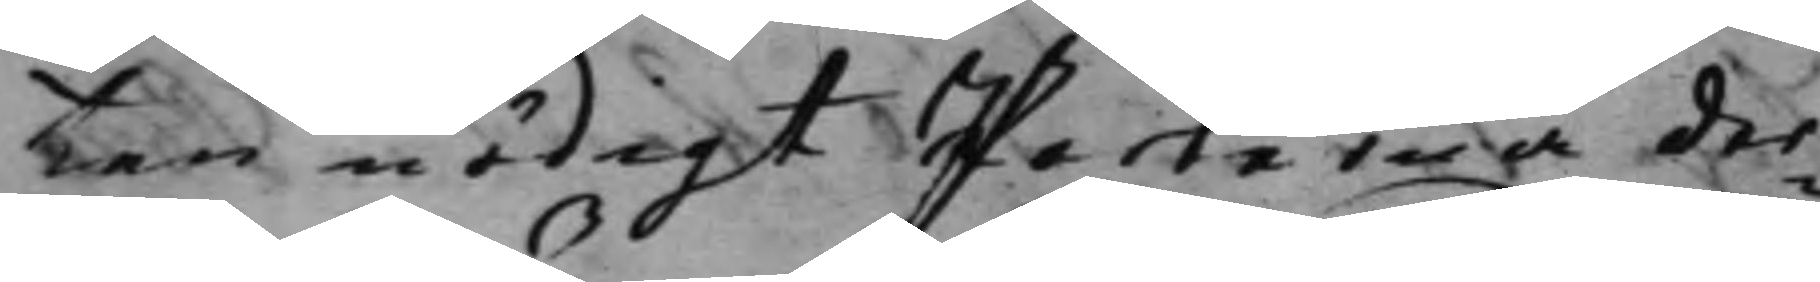ten nödigt Parterna der¬
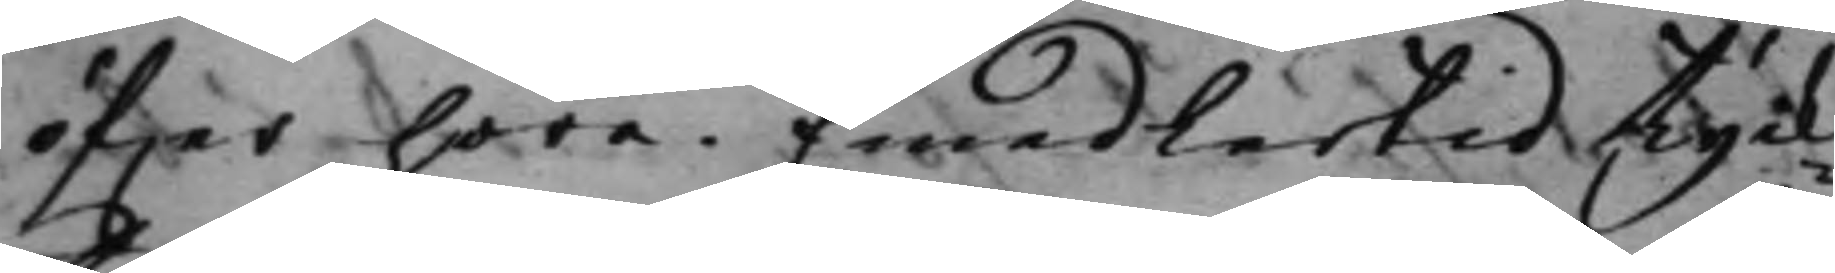öfwer höra. Emedlertid tyck¬
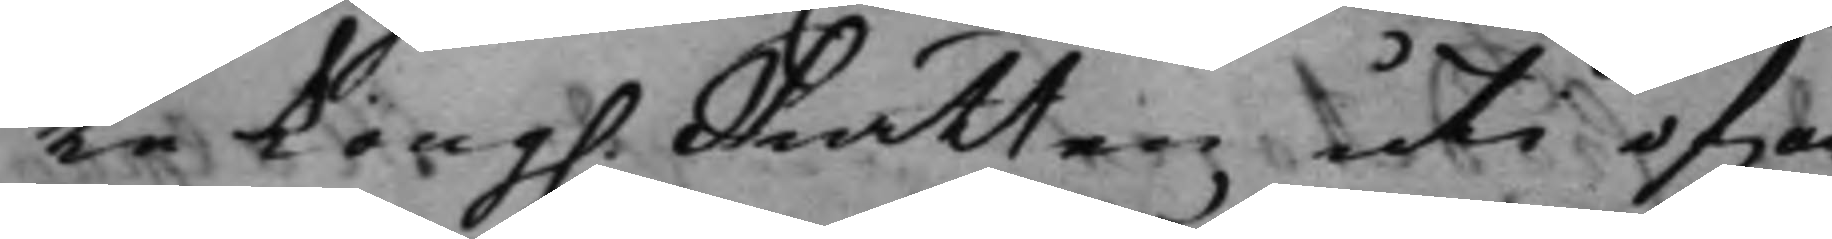te Kong. Rätten uti ofwan
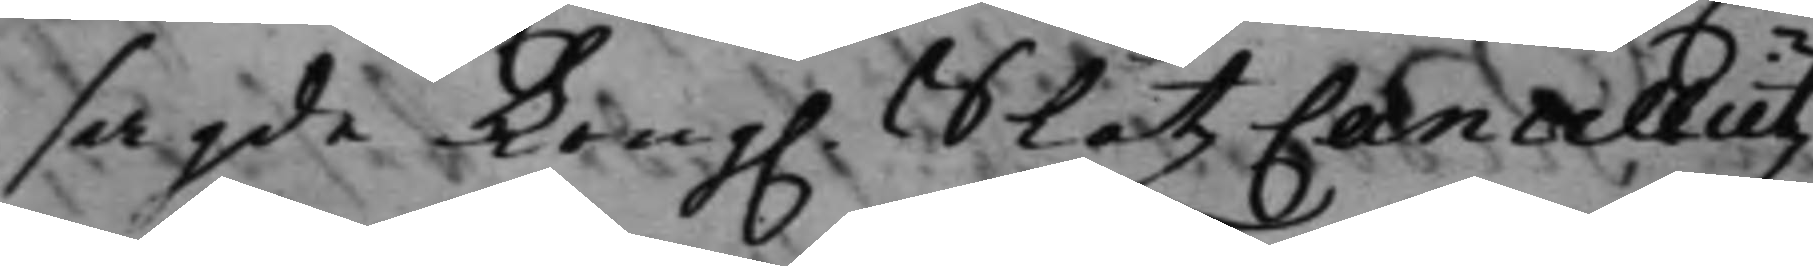sagde Kong. SlåtzCancellietz
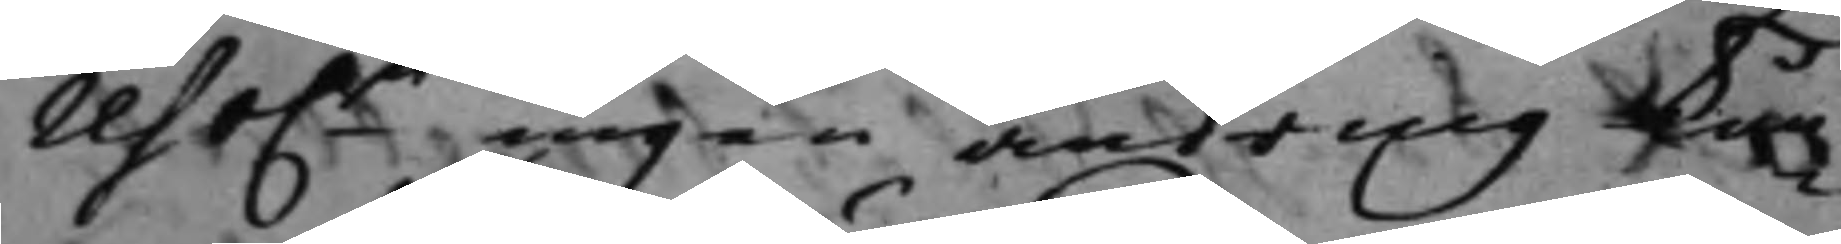reso.n ingen ändring kun¬
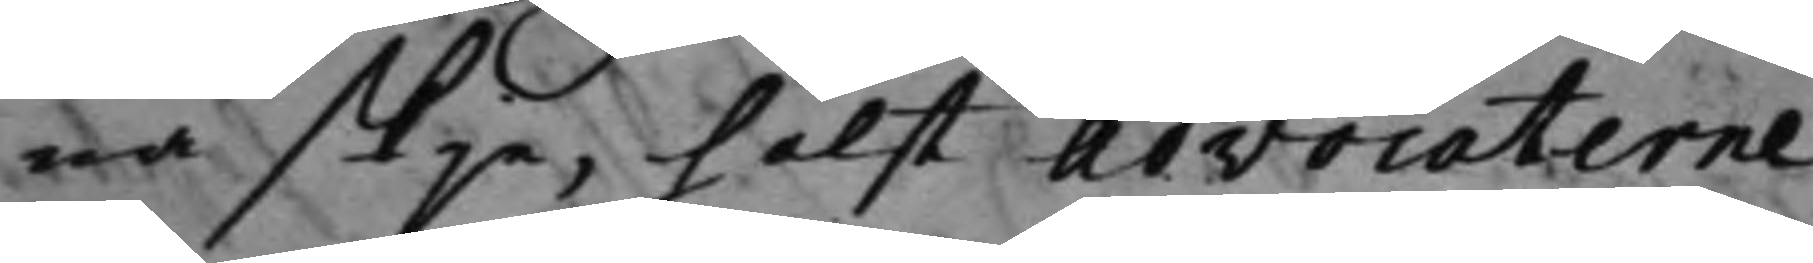na skje, hälst Advocaterne
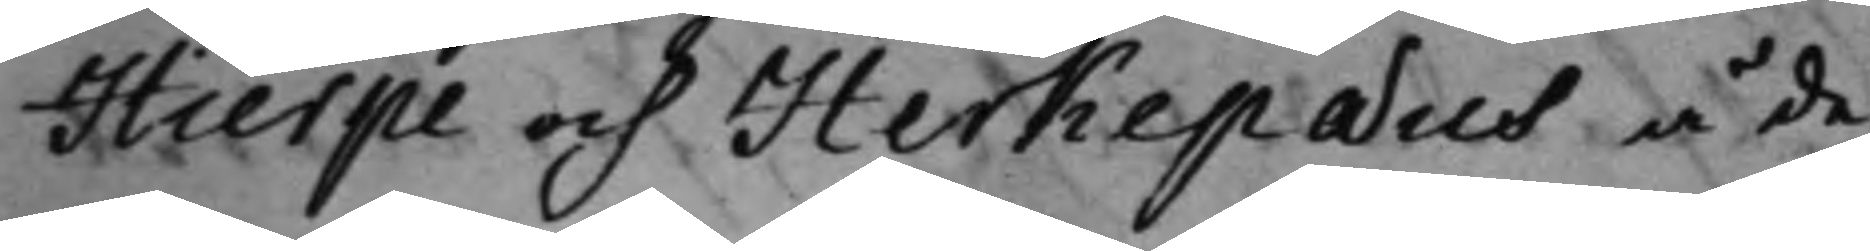Hierpe och Herkepæus å de¬
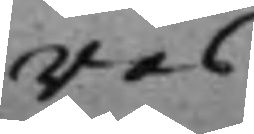ras
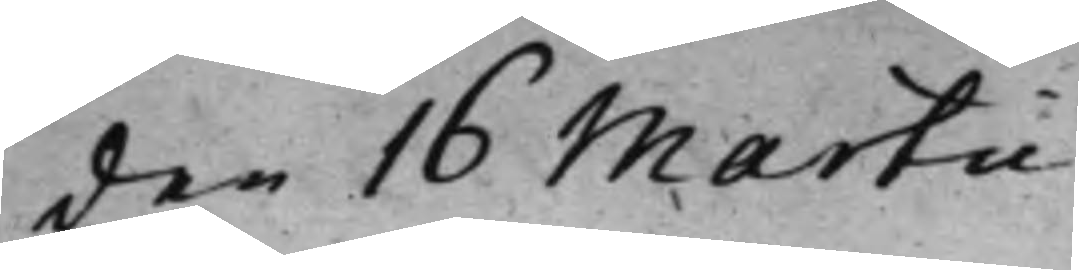den 16 Martii
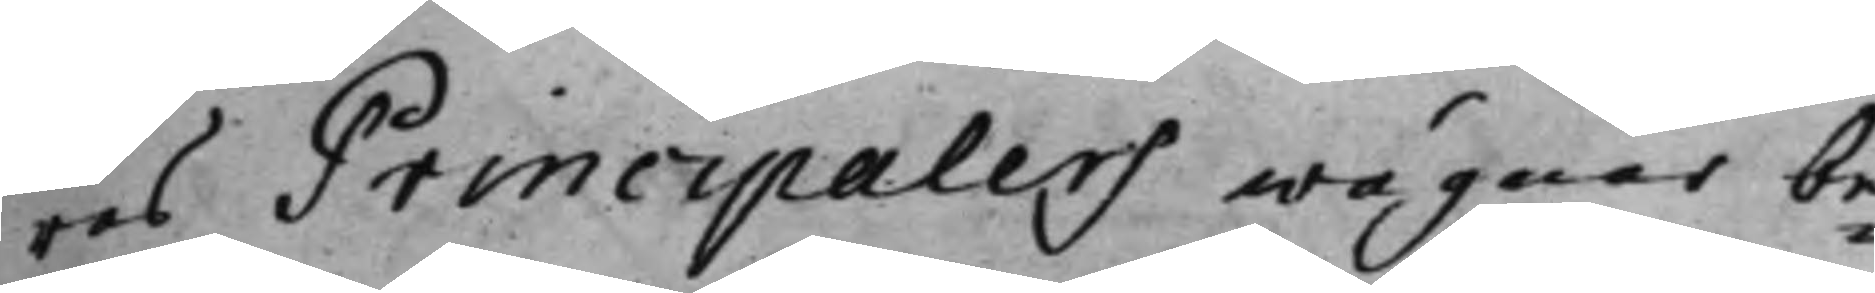ras Principalers wägnar be¬
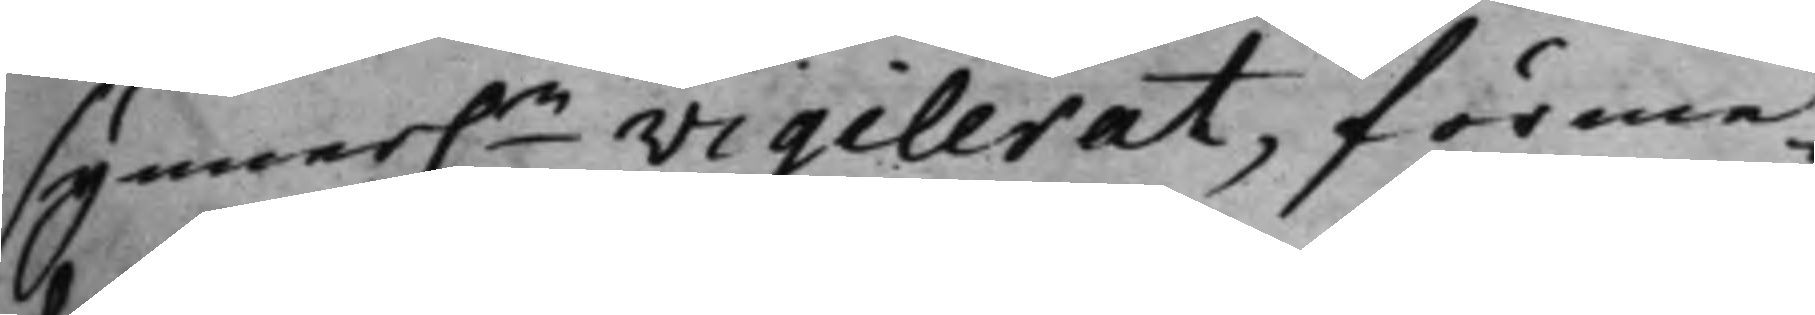synner.n vigilerat, förme¬
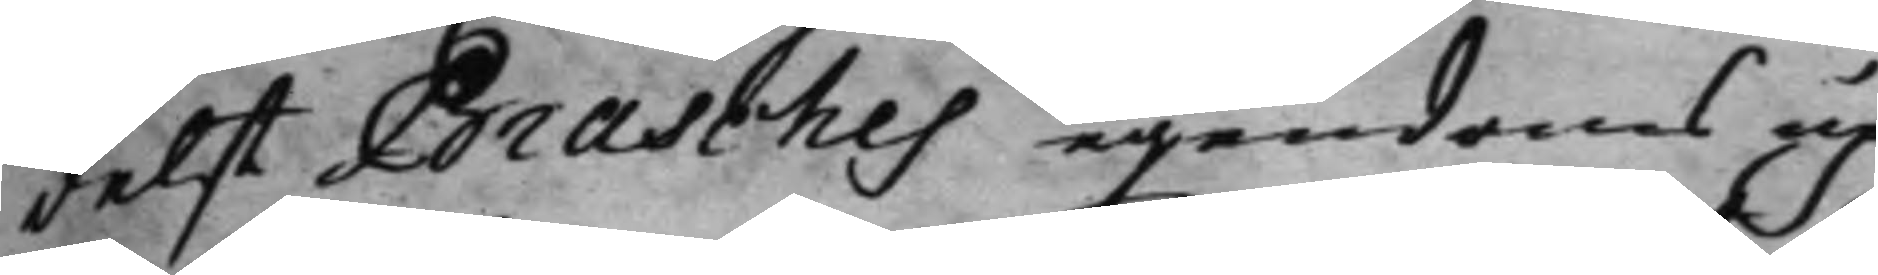delst Brasches egendoms up¬
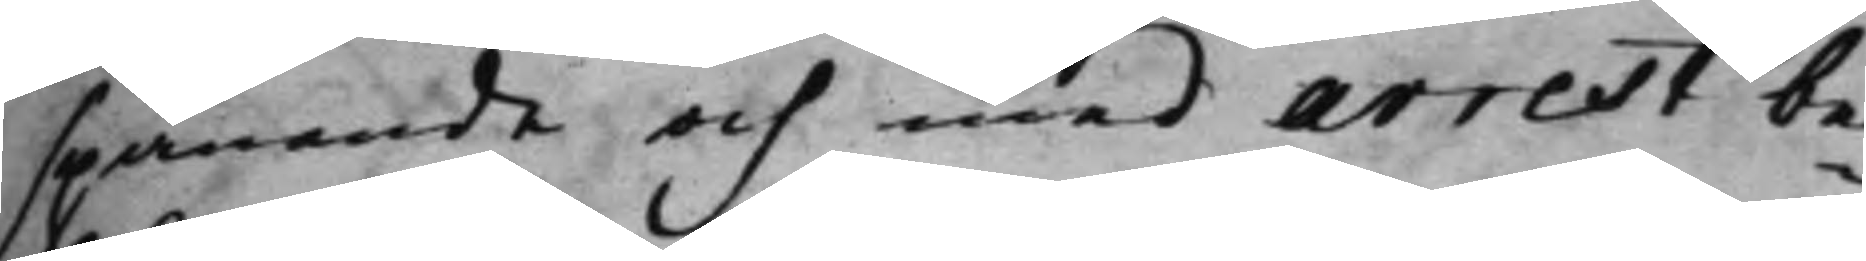spanande och med arrest be¬
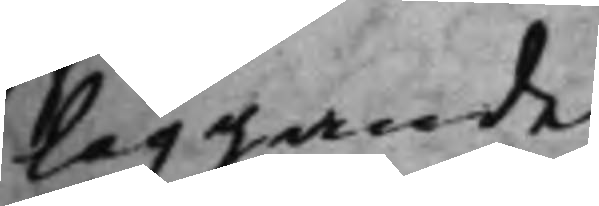läggande.
